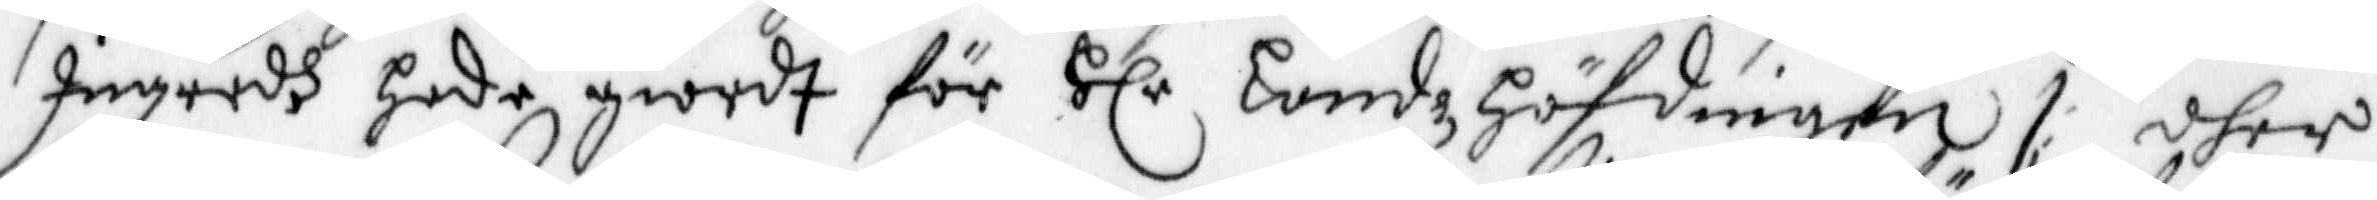Ingredh hade giordt för Hlr Landzhöfdingen /: dher
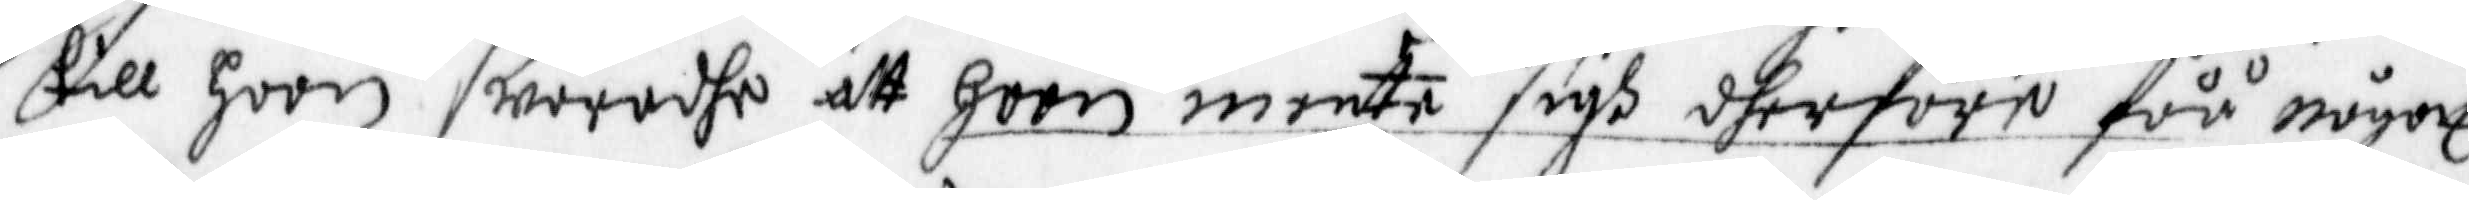till hoon swarade att hoon mente sigh dherföre fåå något
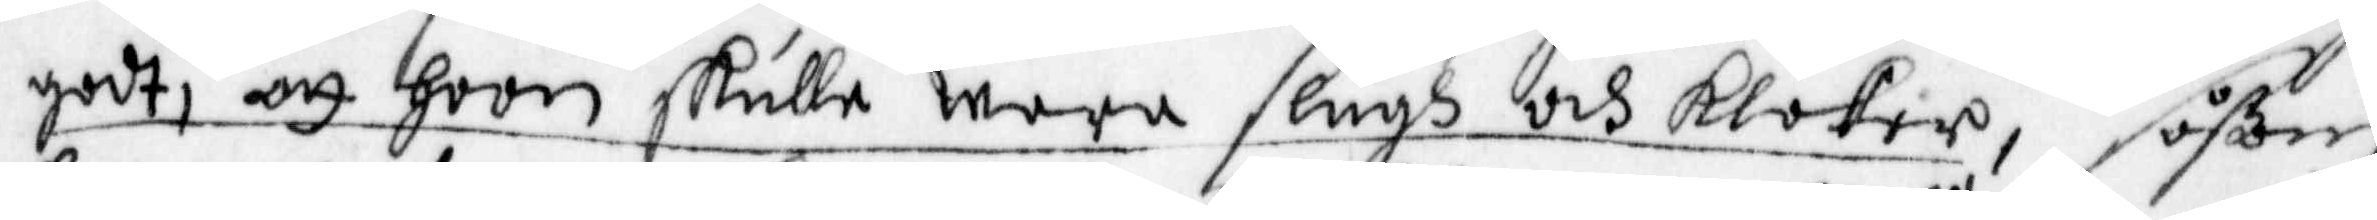godt, att hoon skulle wara slugh och kloker, såßom
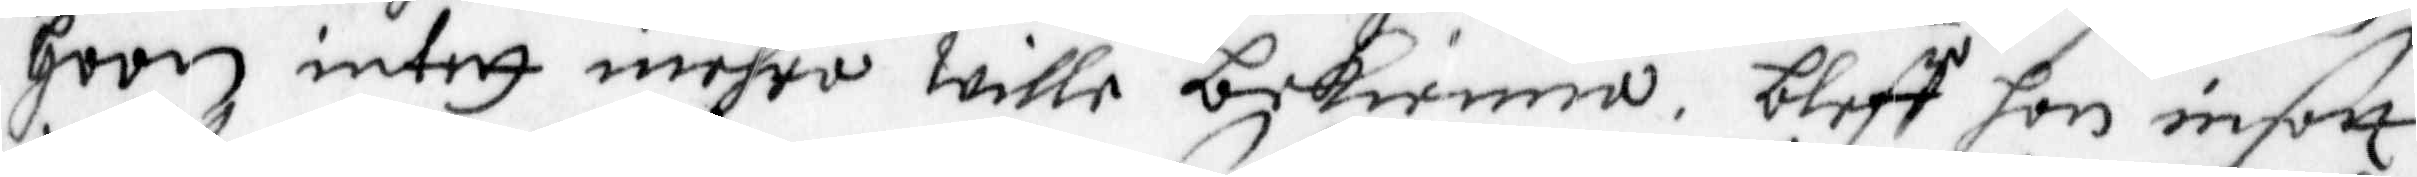hoon intet mehra wille bekienna, bleff hon insatt
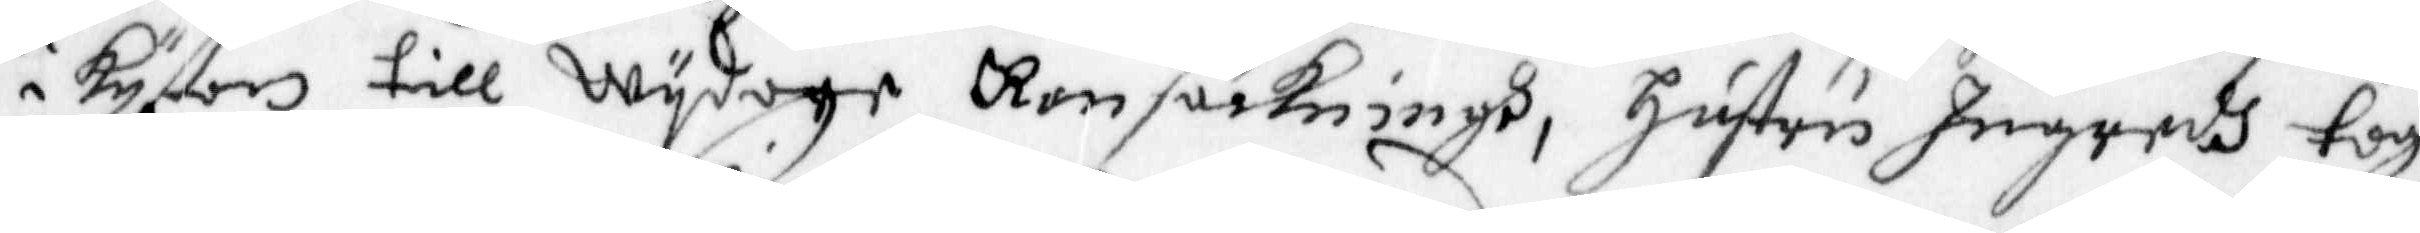i kystan till Wydage Ransakningh, Hustru Ingredh togh
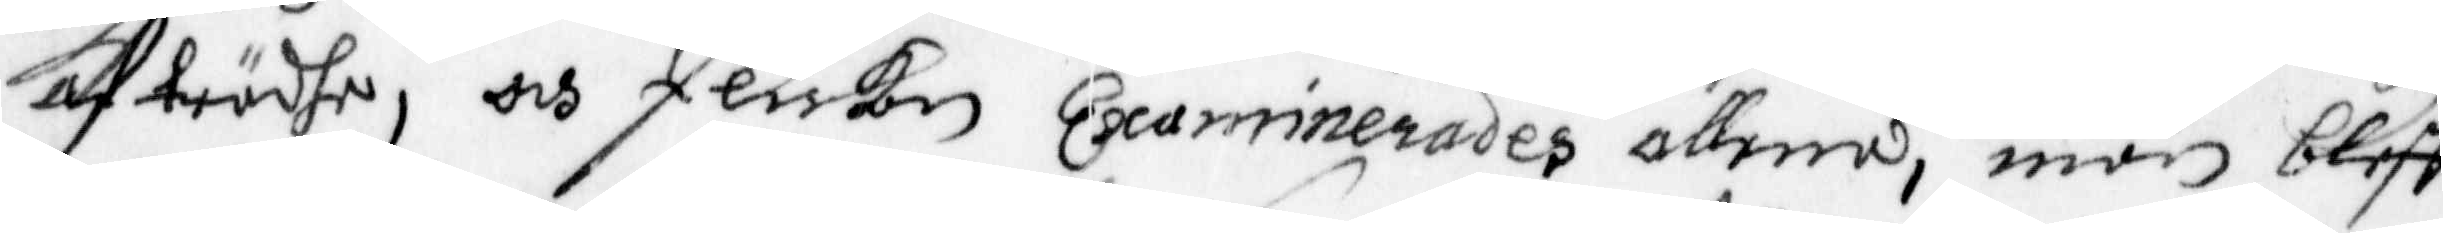afträdhe, och flickan Examinerades allena, män bleff
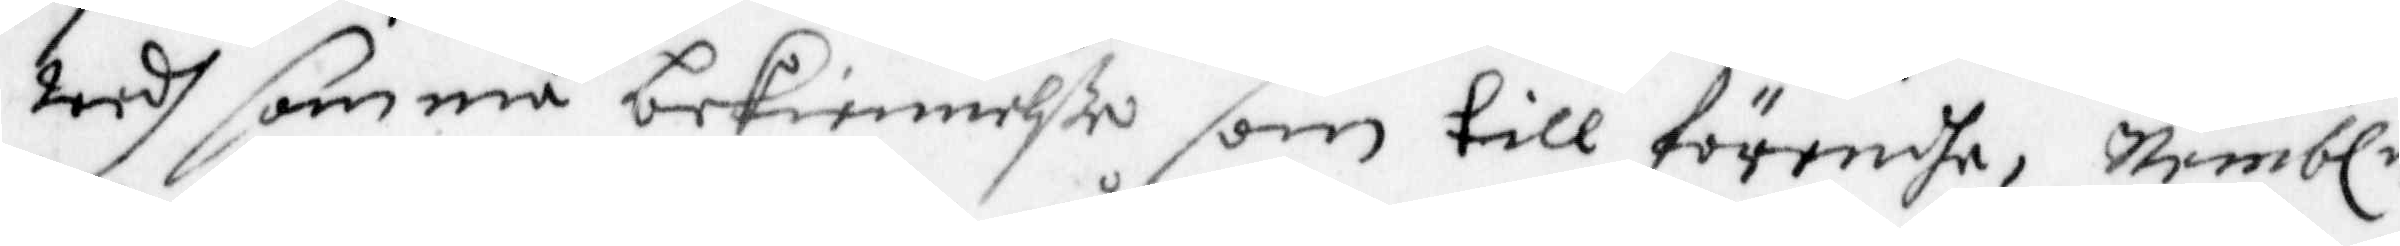wedh samma bekiennelße som till förendhe, Nembln
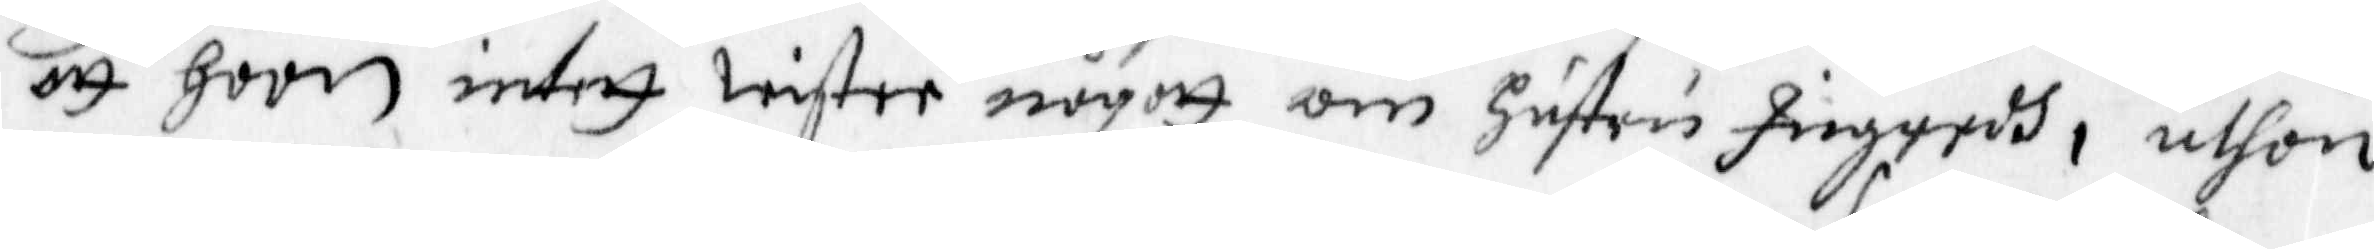att hoon intett wistee någott om Hustru Ingridh, uthan
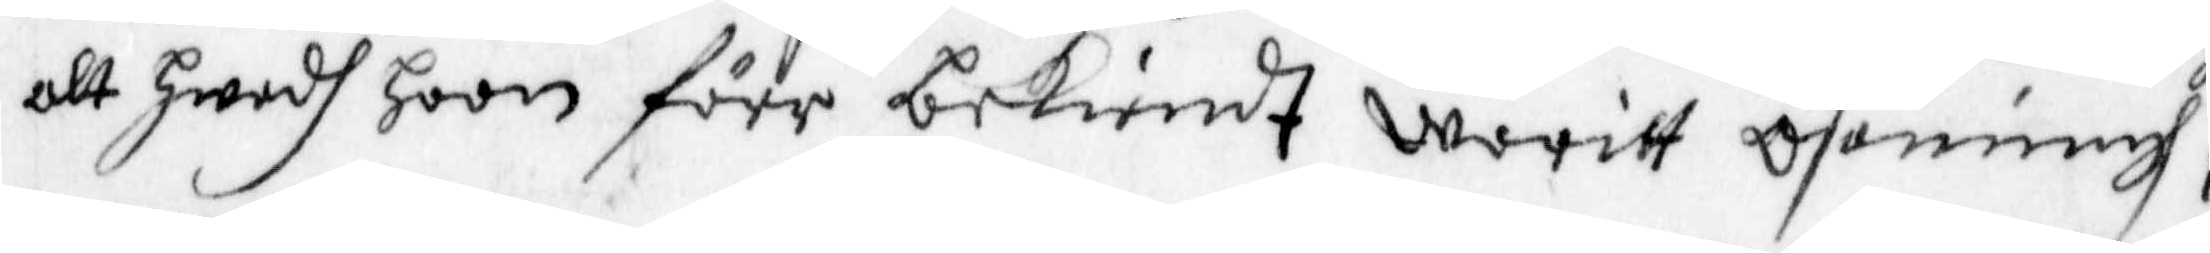alt hwadh hoon förr bekiendt waritt osanningh,
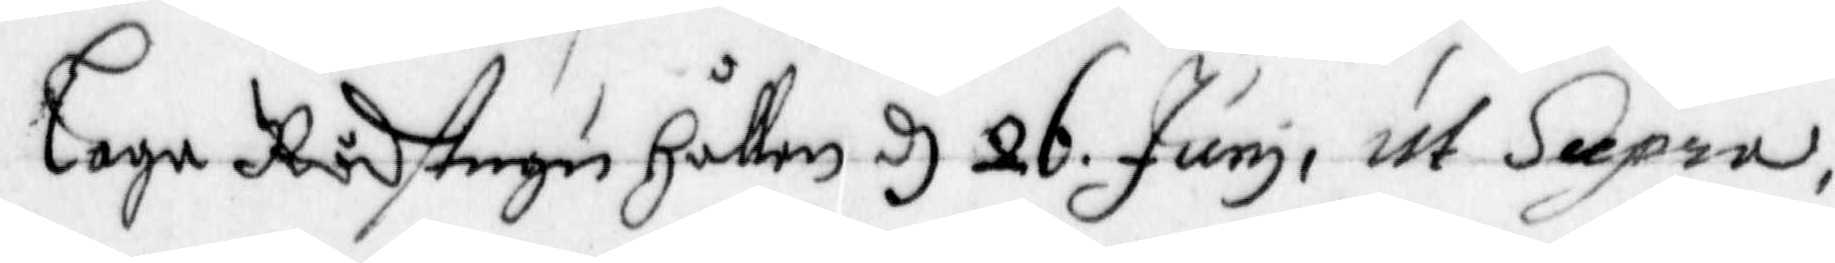Laga Rådstugu Hållen d 26 Juny ut Supra.
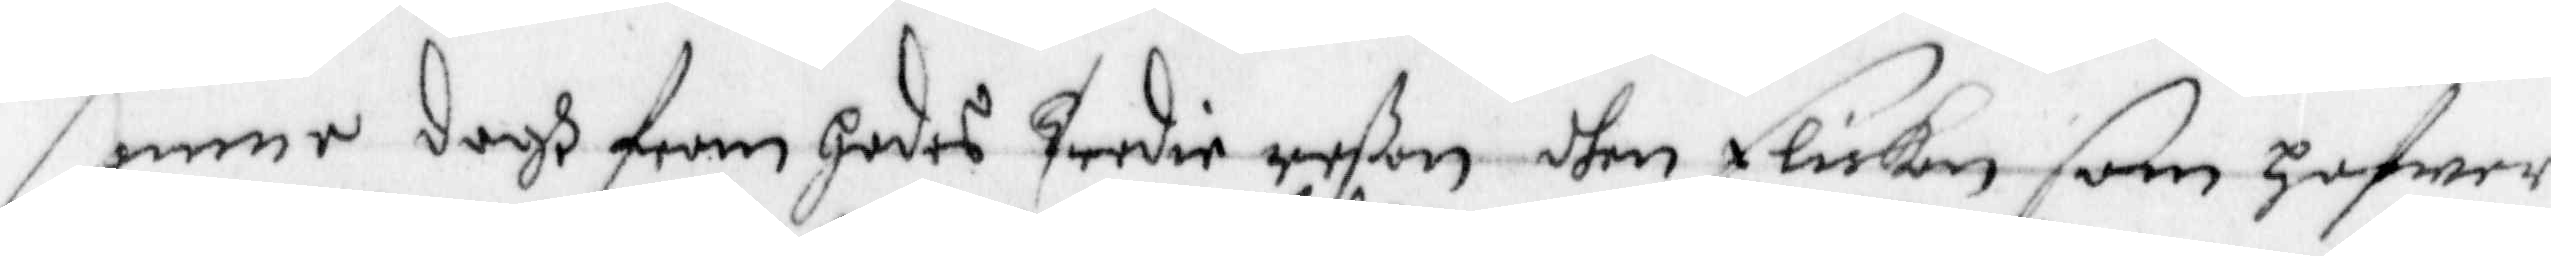Samma dagh fram hades tredie reßan dhen Flickan som hafwer
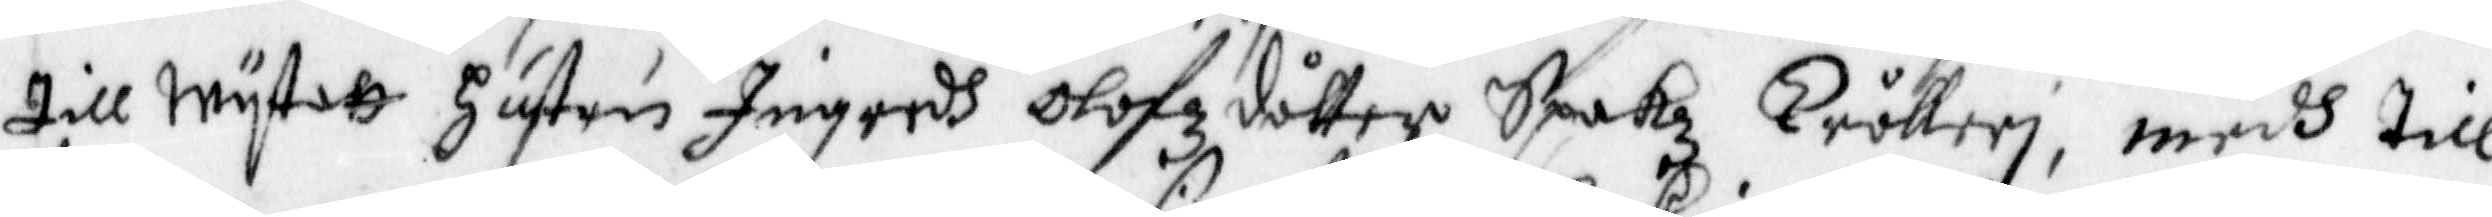till wytatt Hustru Ingredh Olofzdotter Spakz Trålleri, medh till¬
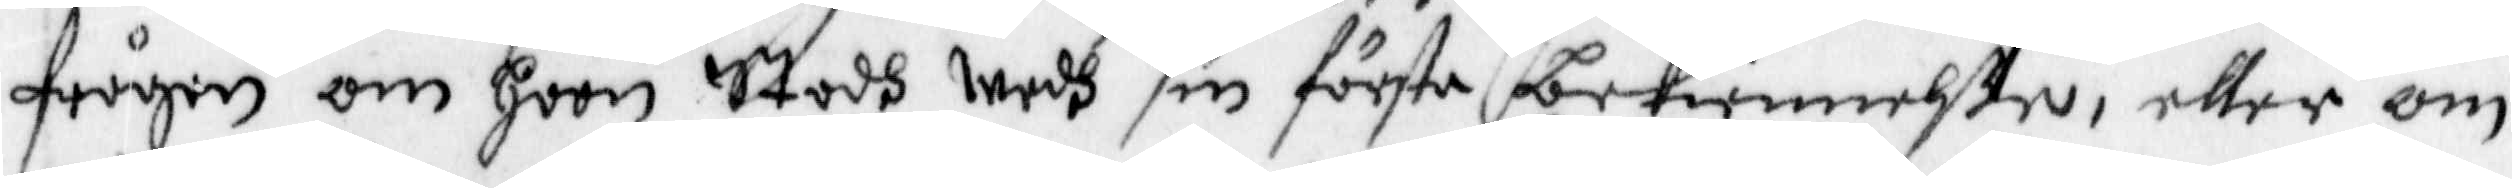frågan om hoon Stodh wedh sin första bekiennelße, eller om
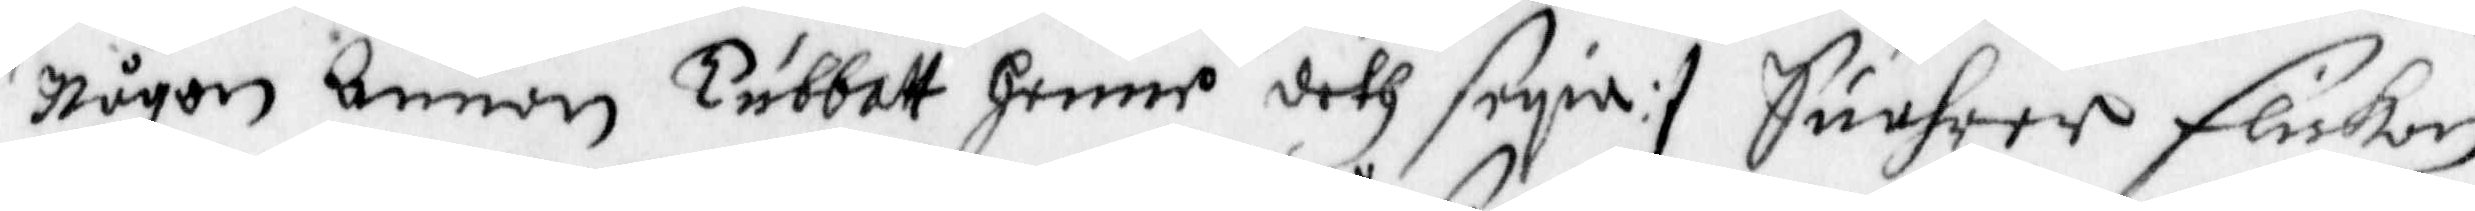någon annan Tubbatt henne deth seyia :/ Suahrar flickan
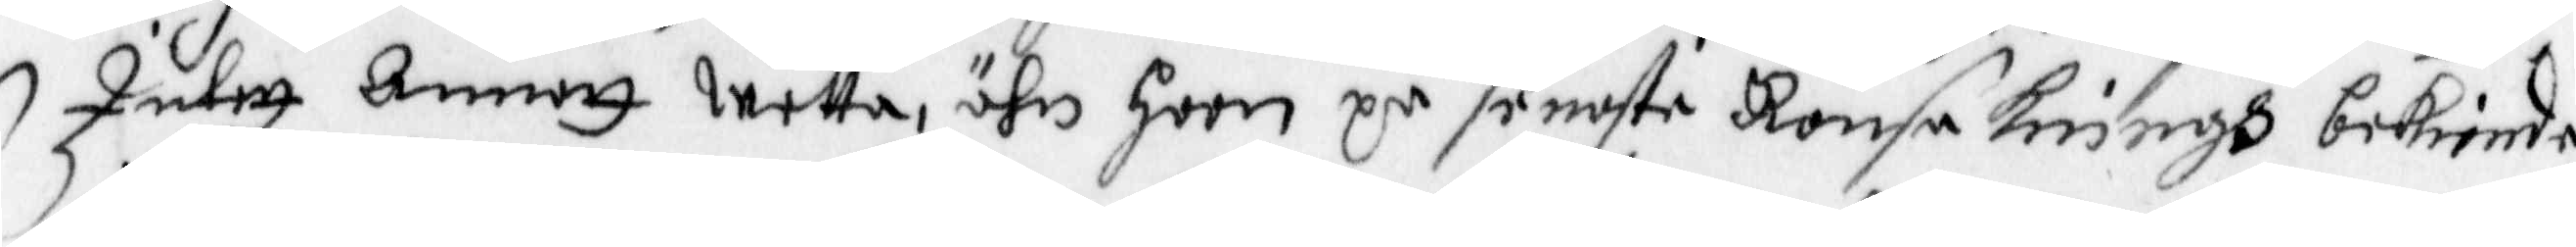Intett annatt wetta, ähn hoon på senste Ransakningh bekiende,
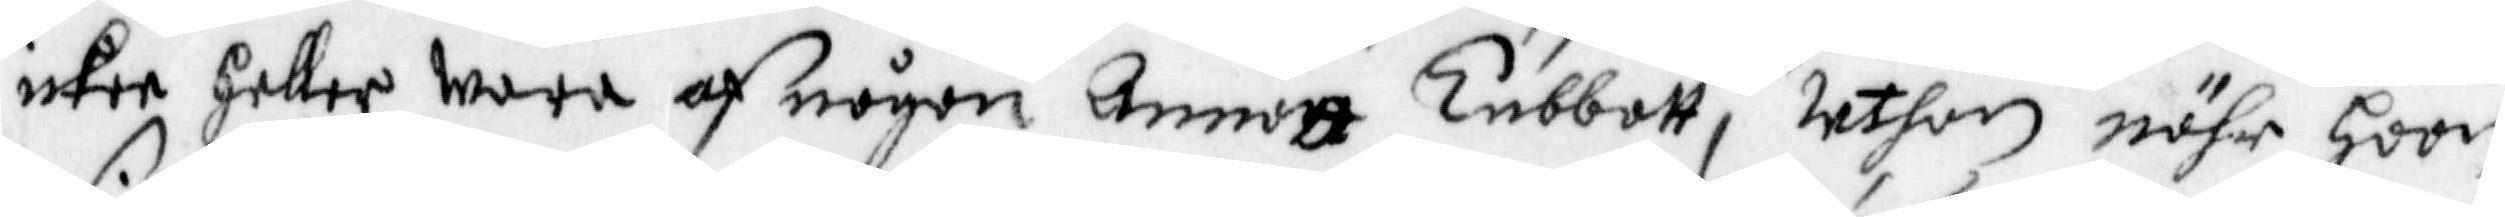icke Heller wara af någon Annan Tubbatt, Uthan nähr hoon
